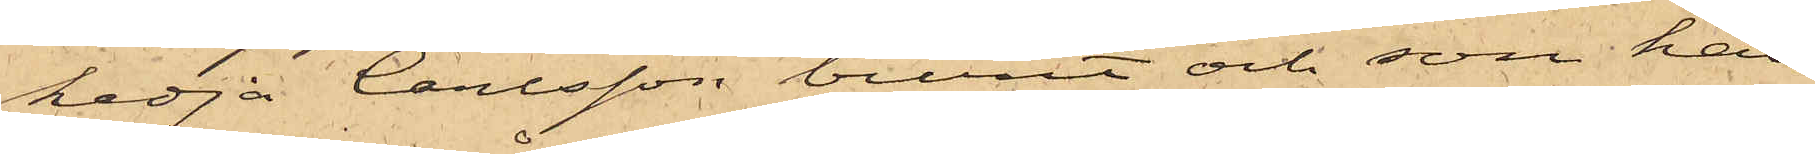kedja Carlsson burit och som han
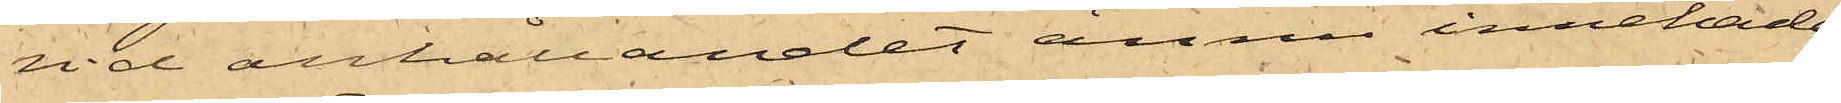vid anhållandet ännu innehade;
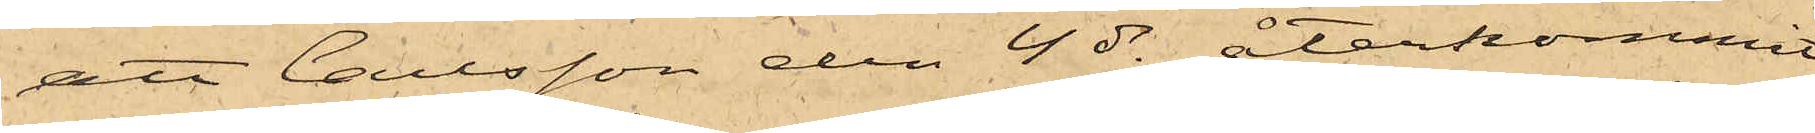att Carlsson den 4 ds återkommit
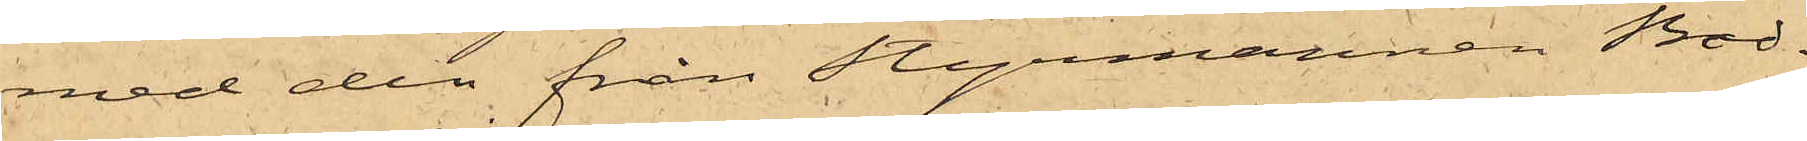med den från Styrmannen Bod¬
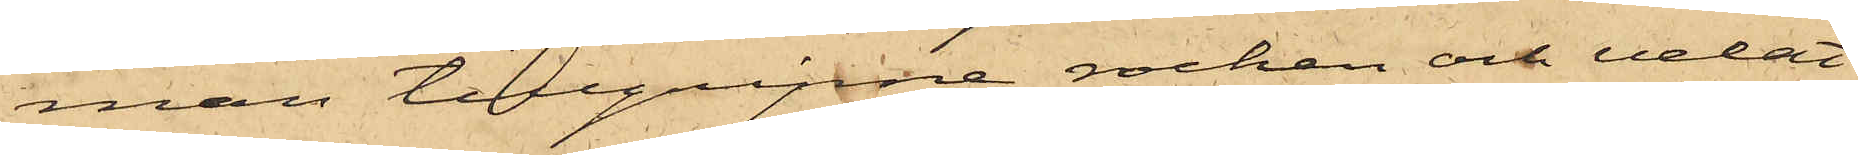man tillgripne rocken och velat
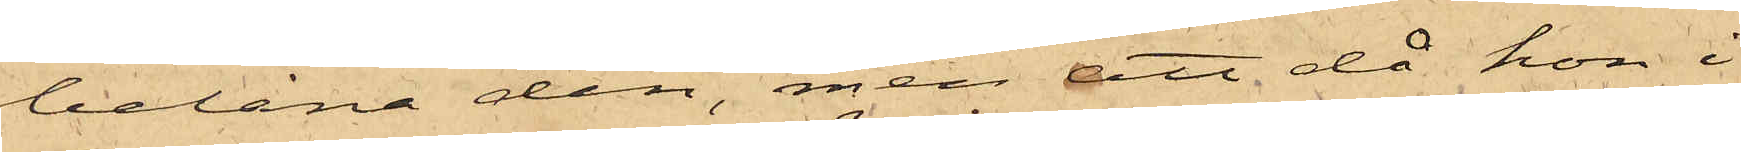belåna den, men att då hon i
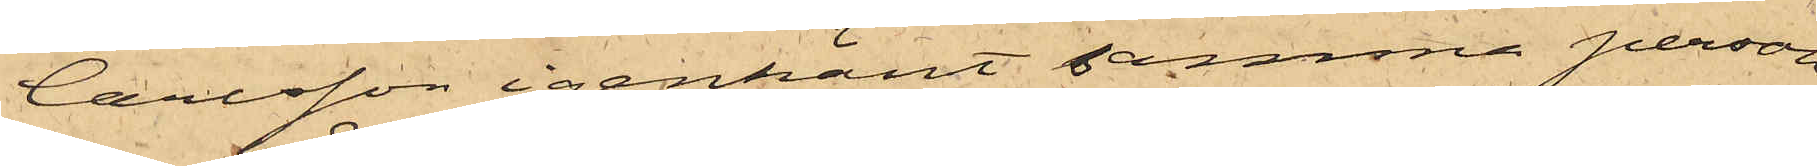Carlsson igenkänt samma person
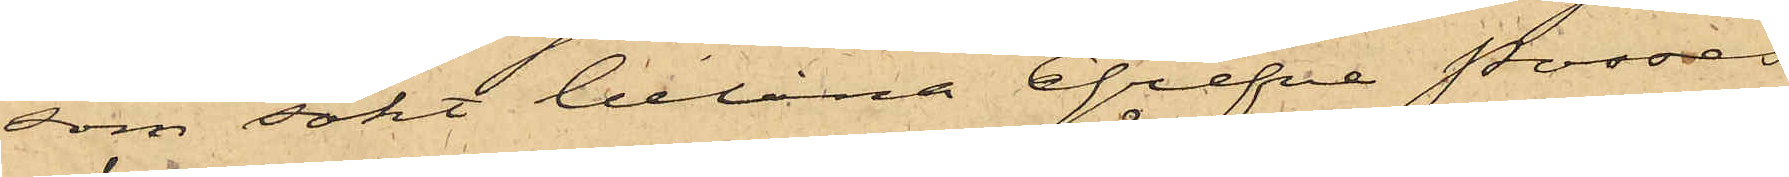som sökt belåna Grefve Posses
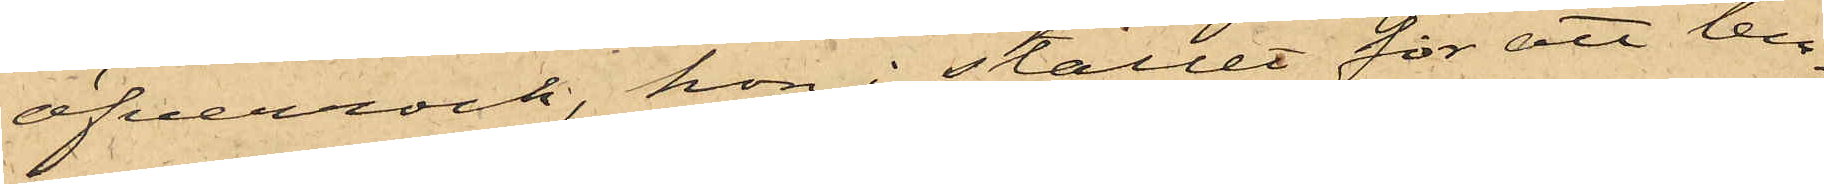öfverrock, hon i stället för att lem¬
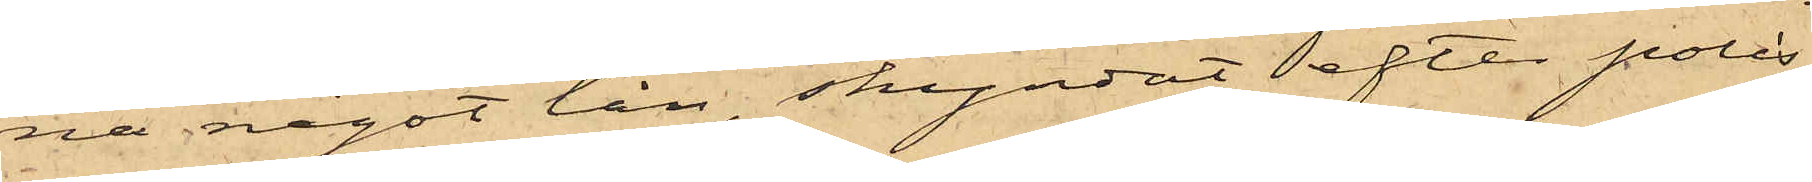na något lån, skyndat efter polis,
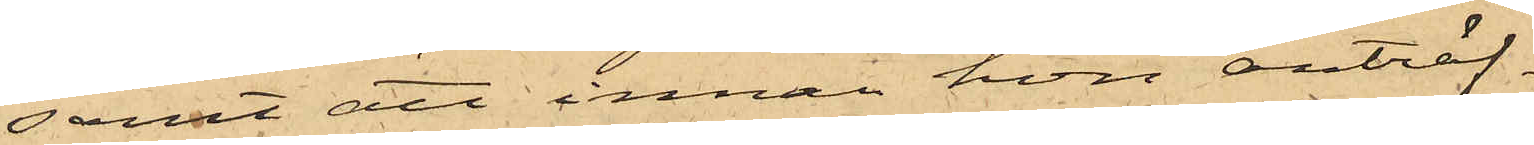samt att innan hon anträf¬
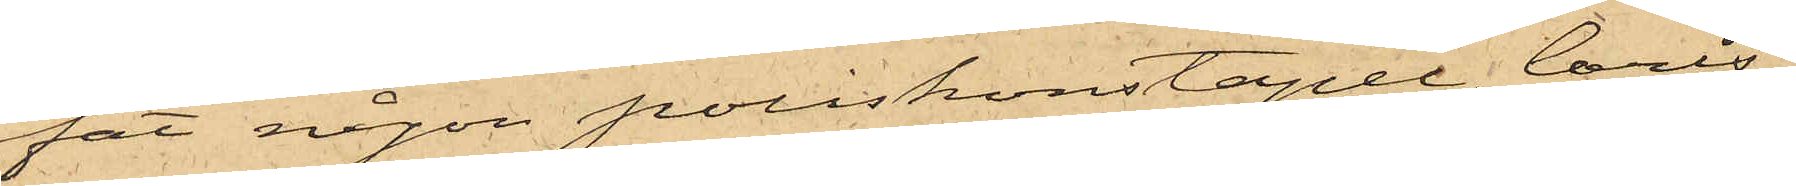fat någon poliskonstapel, Carls¬
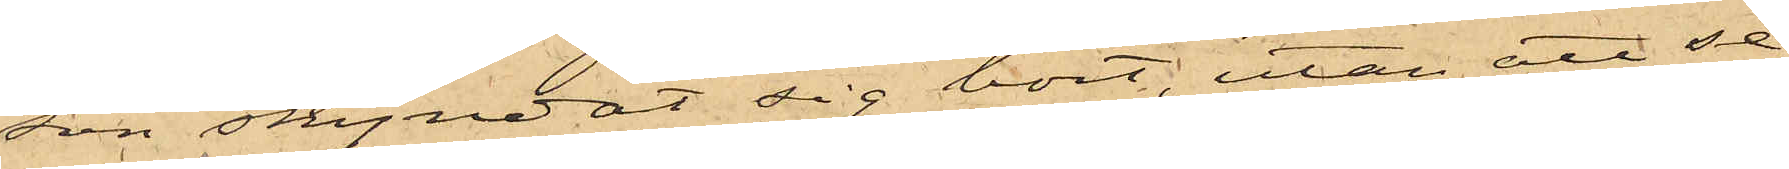son skyndat sig bort, utan att se¬
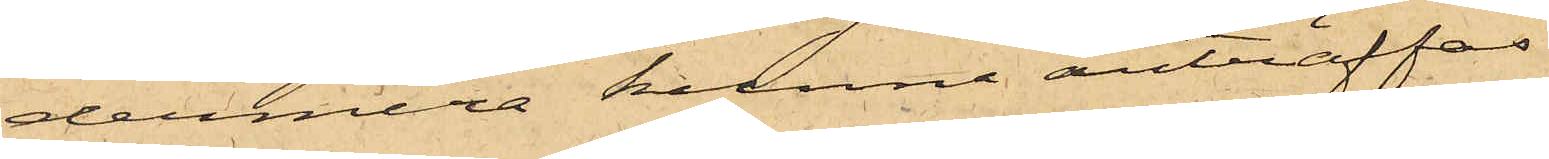dermera kunna anträffas
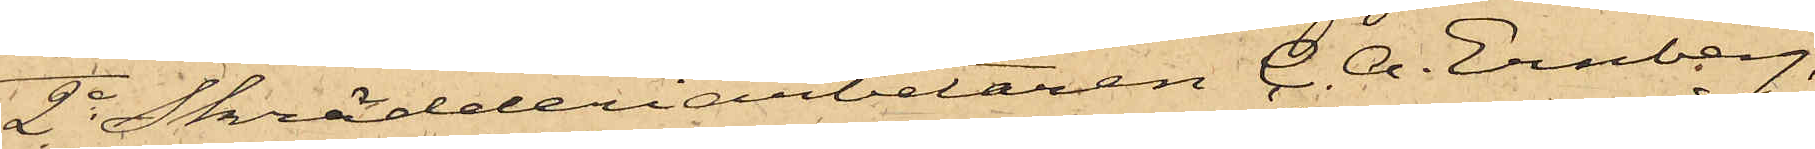2o Skrädderiarbetaren C. A. Ernberg,
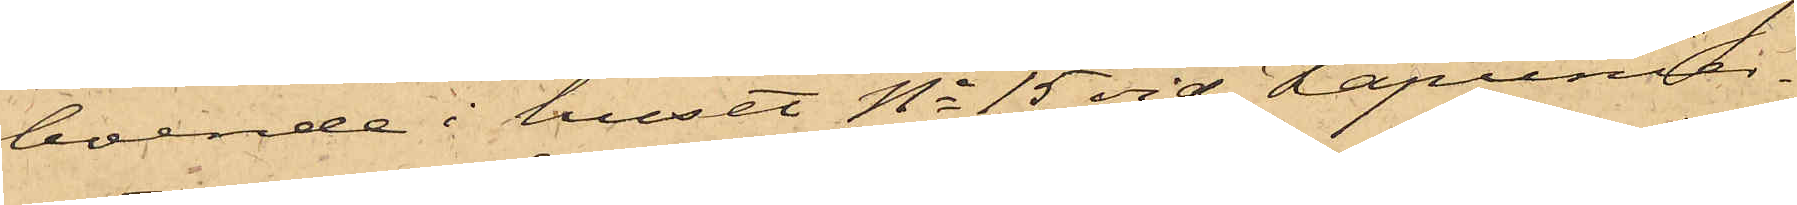boende i huset No 15 vid Kapunier¬
